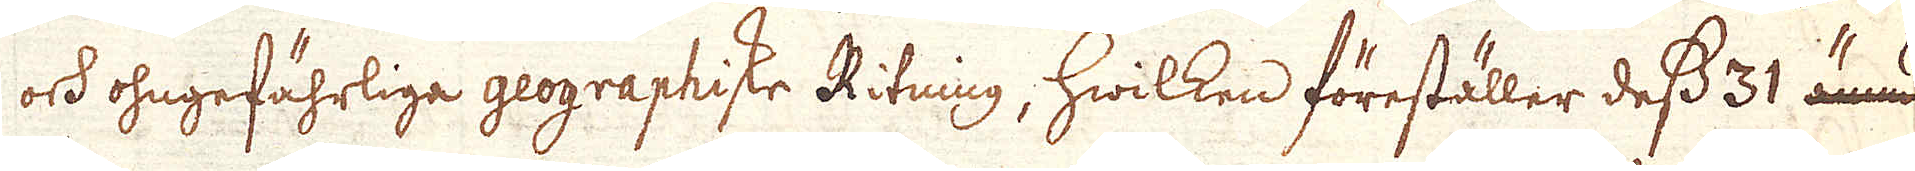och ohngefährliga geographiske Ritning, hwilken föreställer dess 31 ännu
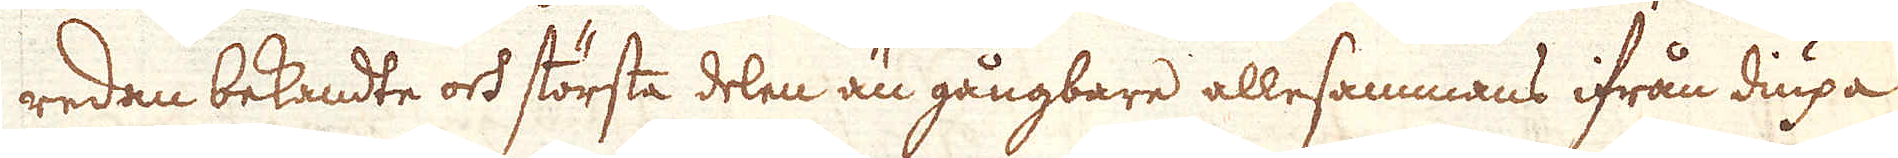redan bekandte och största delen än gångbare allesammans ifrån diupa
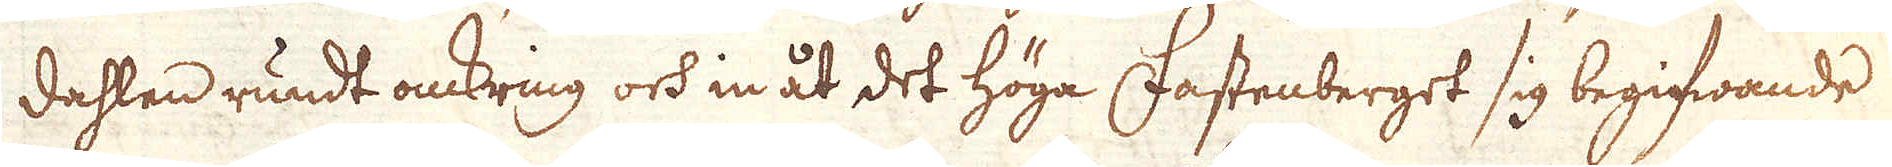dahlen rundt omkring och in åt det höga Fastenberget sig begifwande
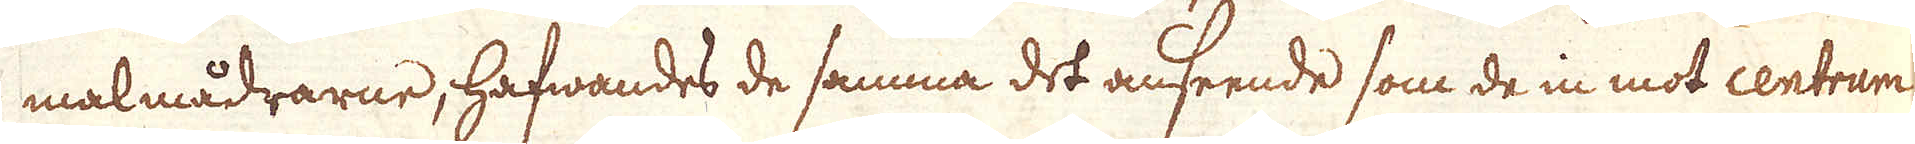malmådrarne, hafwandes de samma det anseende som de in mot centrum
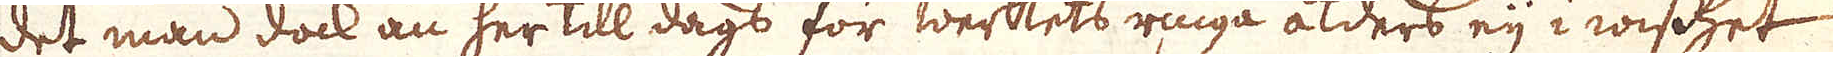det man dock än her till dags för werkets ringa ålders eij i wisshet
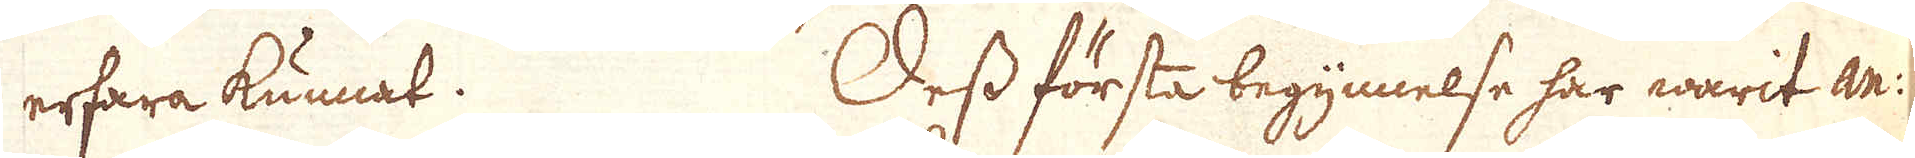erfara kunnat. Dess första begynnelse har warit an:
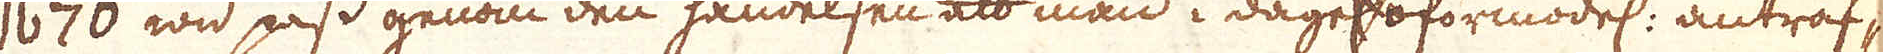1670 wid pass genom den händelsen att man i dagel:n förmodel: anträf-
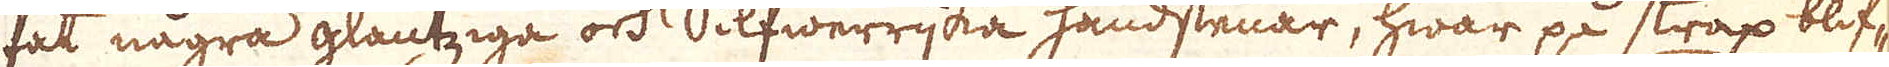fat några glantziga och Silfwerrijka handstenar, hwar på strax blif-
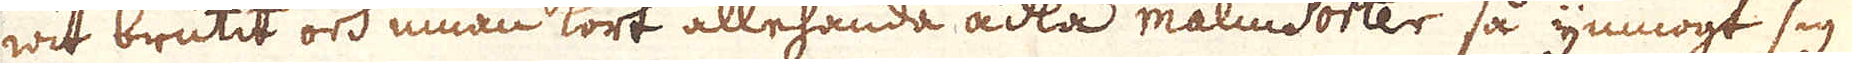wit brutit och innan kort allehanda ädla malmsorter så ymnogt sig
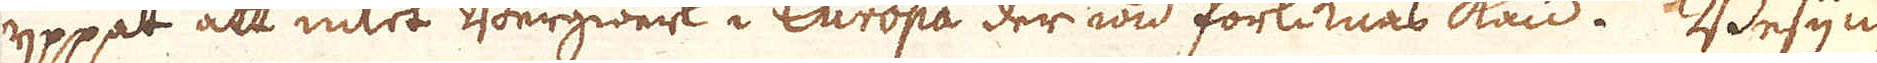yppat att intet Bergwerk i Europa der wid förliknas kan. Besyn-
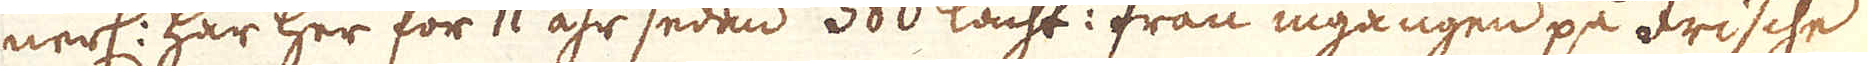nerl: har her för 11 åhr sedan 380 lacht: från ingången på Frische
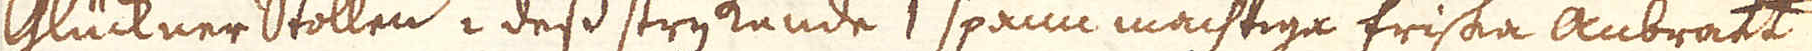Glückner Stollen i dess strykande 1 spann mächtiga friska anbrått
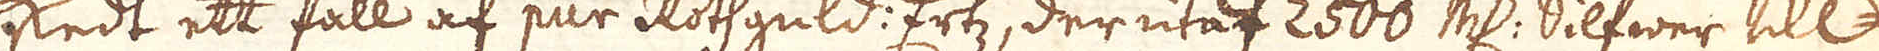skedt ett fall af pur Rothguld: Ertz, der utaf 2500 marker Silfwer till-
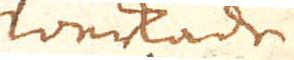werkade
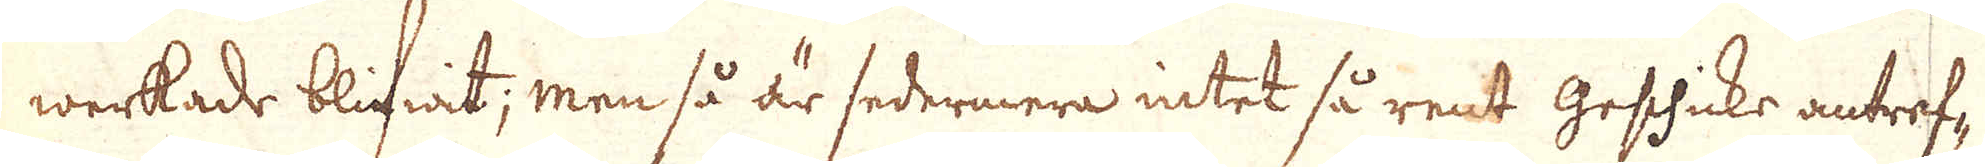werkade blifwit; men så är sedermera intet så rent Geschicke antref-
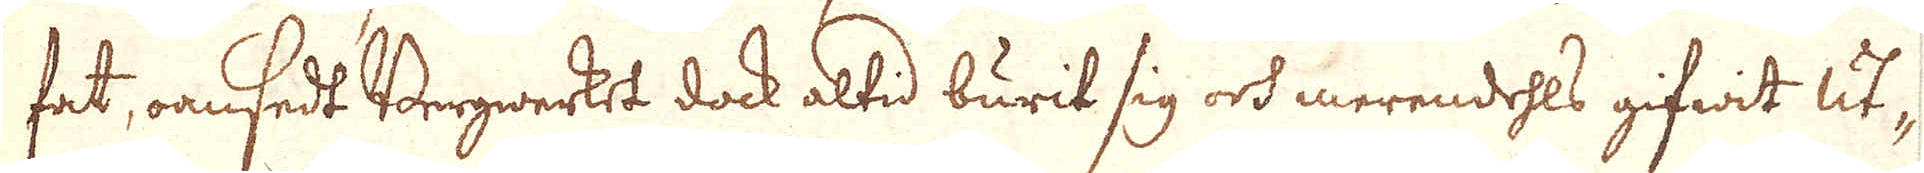fat, oansedt Bergwerket dock altid burit sig och merendehls gifwit ut-
